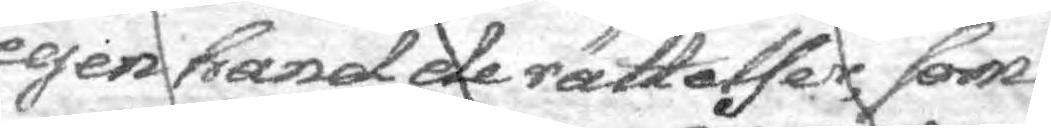egen hand de rättelser, som
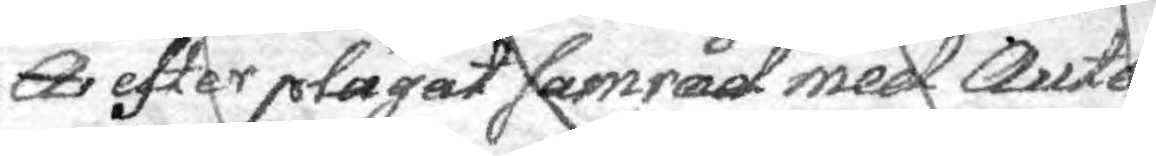A efter plägat samråd med Auto¬
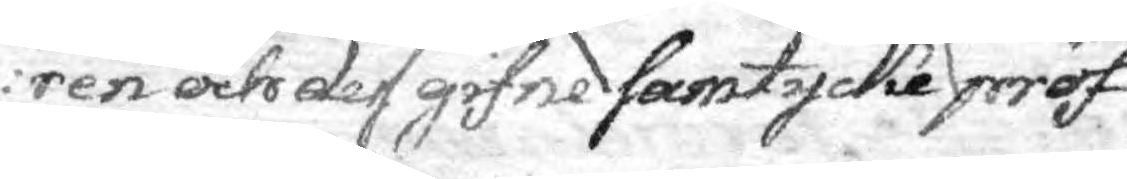ren och dess gifne samtycke pröf¬
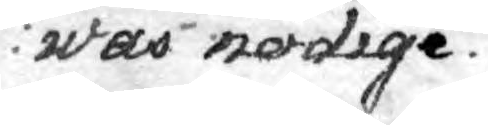was nödige.
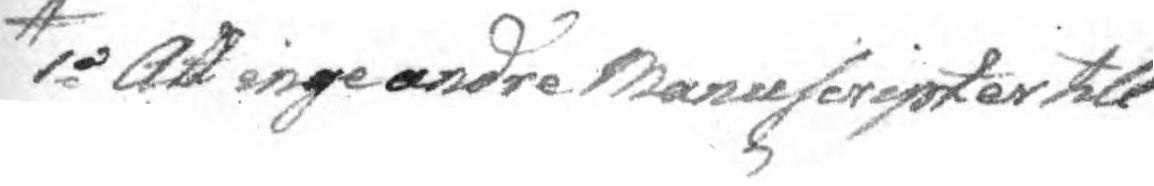1o Att inge andre Manuscripter till
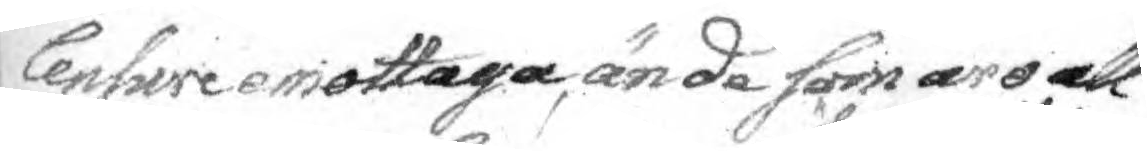Censure emottaga. ände som äro all¬
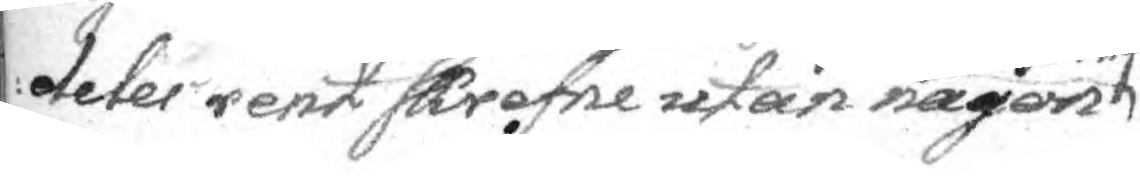deles rent skrefne utan någon öfwerskrifning
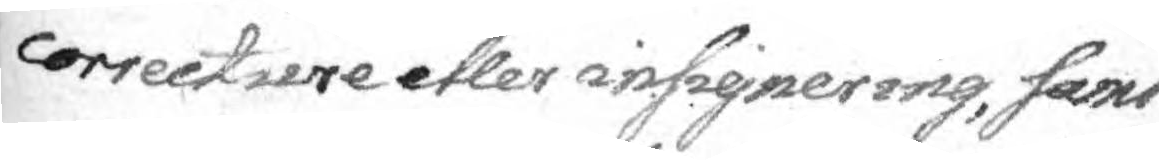correcture eller insignering, samt
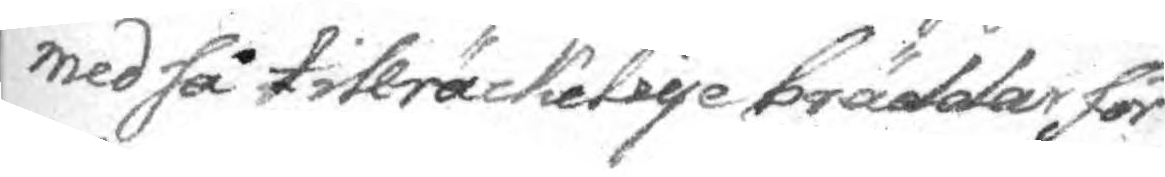med så tillräckelige bräddar för
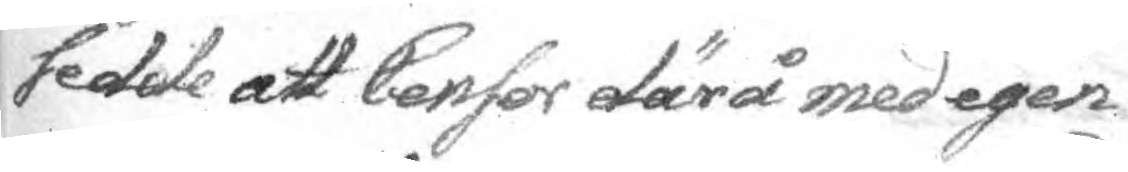sedde att Censor därå med egen
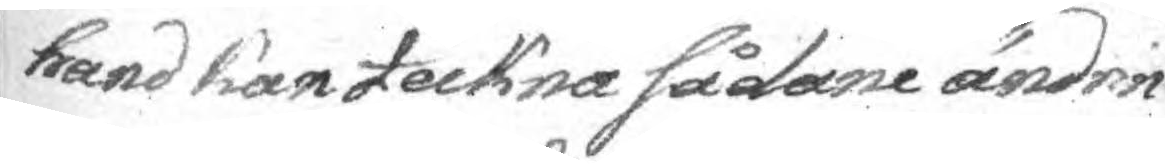hand kan teckna sådane ändrin¬
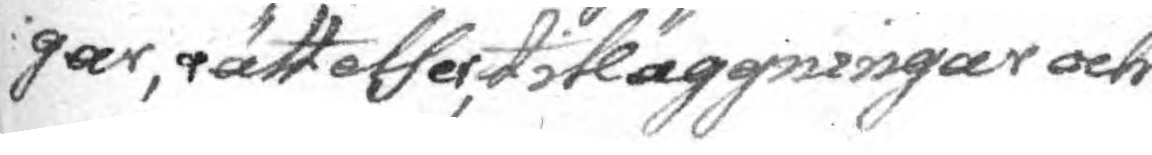gar, rättelser, tilläggningar och
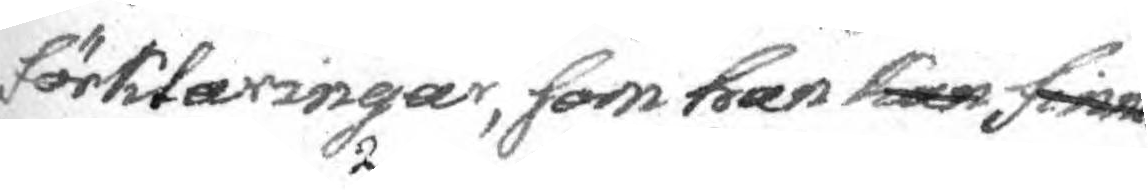förklarngar, som han kan finna
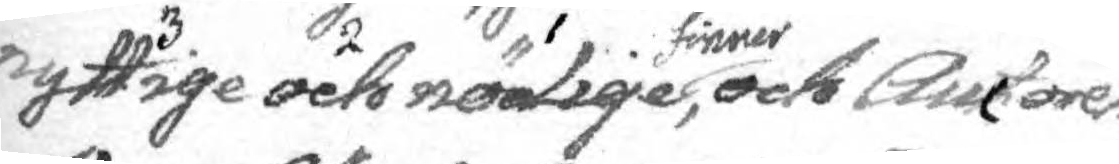rnyttige och nödige finner, och Auctoren,
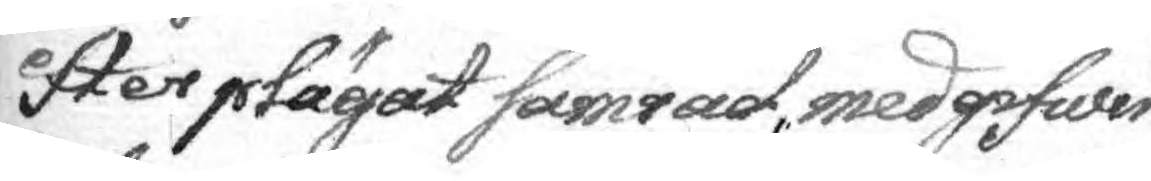efter plägat samråd, medgifwer
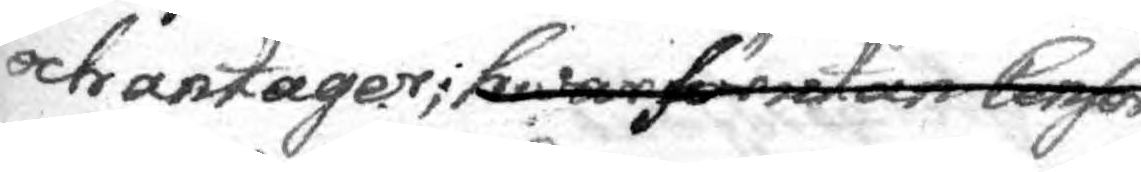och antager; hwarförutan Censor
